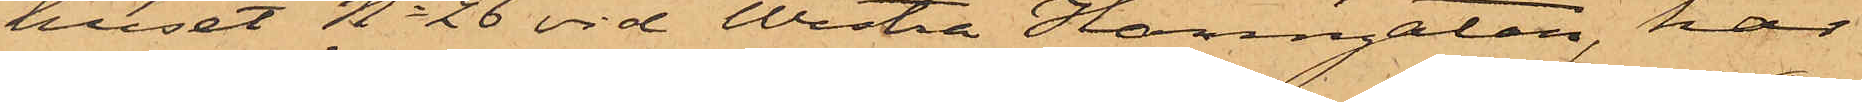huset No 26 vid Westra Hamngatan, har
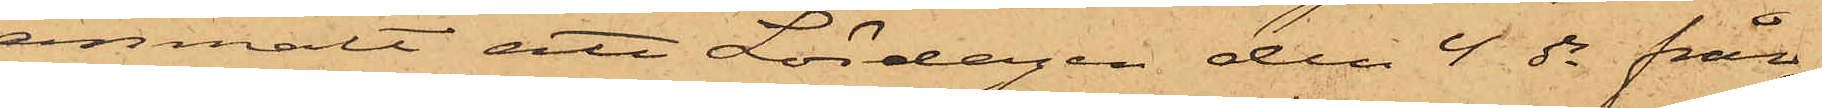anmält att Lördagen den 4 ds från
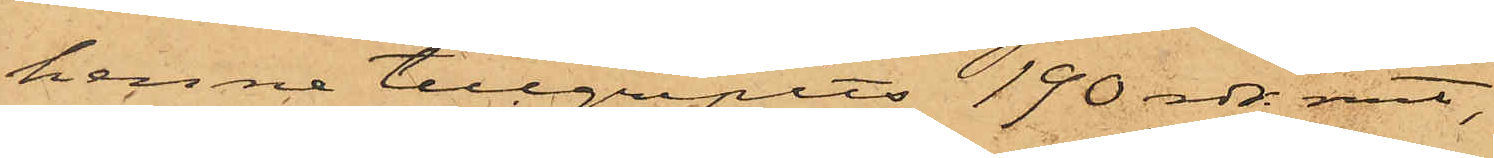henne tillgripits 190 rdr rmt,
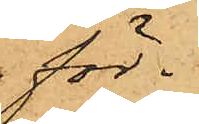för¬
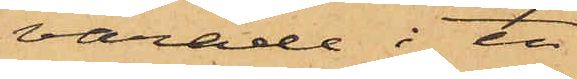varade i en
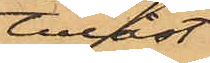tillåst
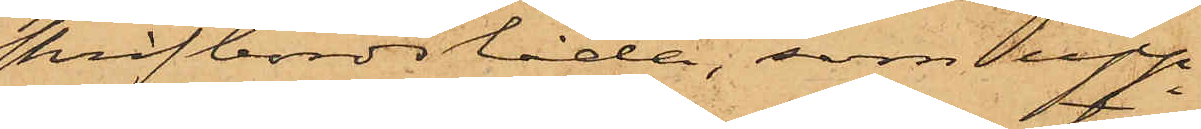skrifbordslåda, som upp¬
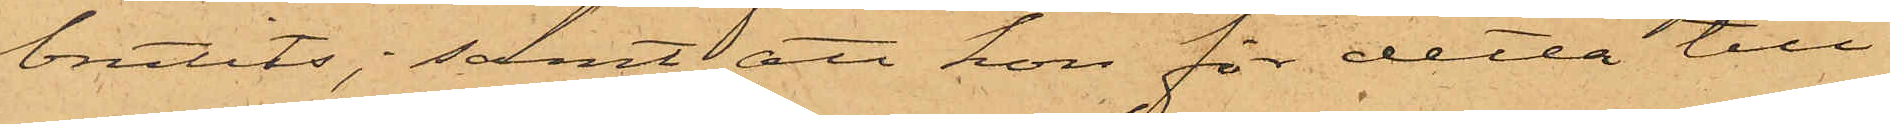brutits; samt att hon för detta till¬
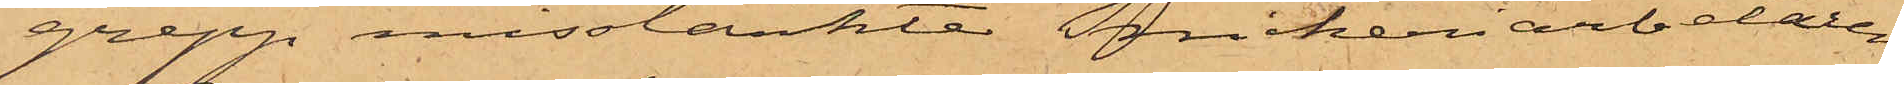grepp misstänkte Snickeriarbetaren
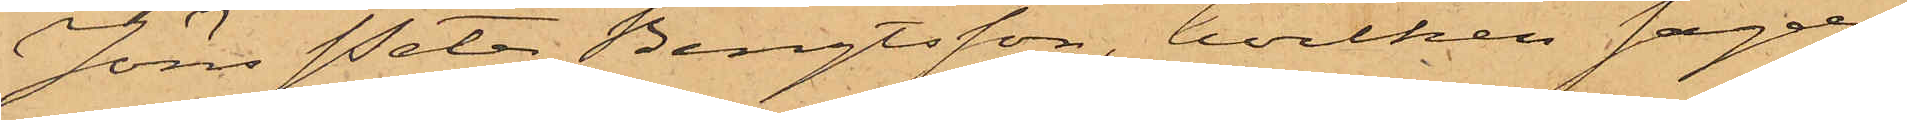Jöns Peter Bengtsson, hvilken sagde
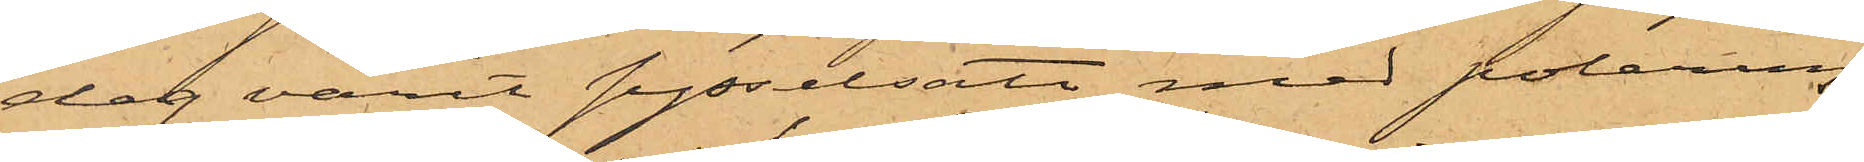dag varit sysselsatt med polering
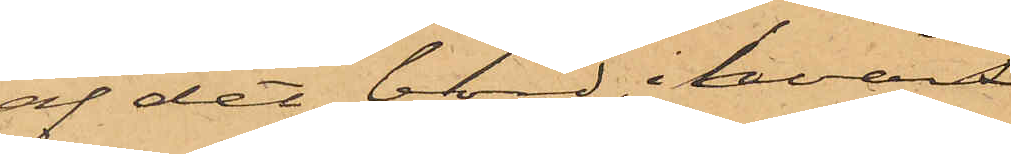af det bord, i hvars
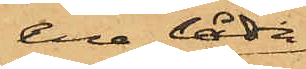ena låda
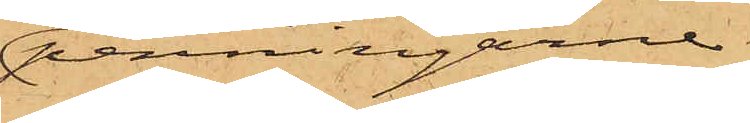penningarne
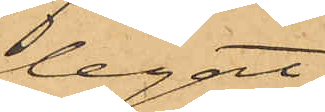legat.
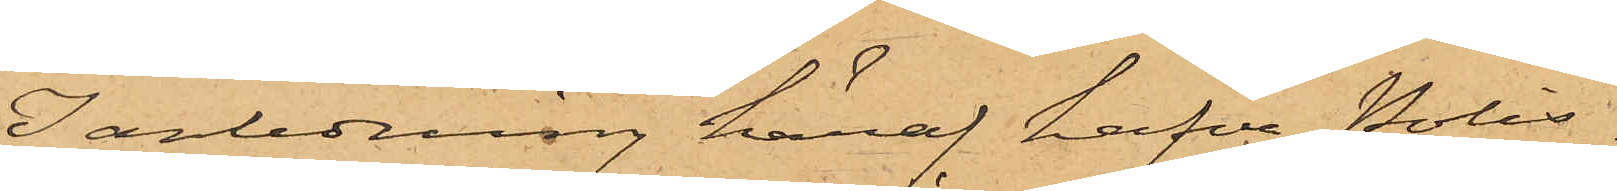I anledning häraf hafva Polis¬
